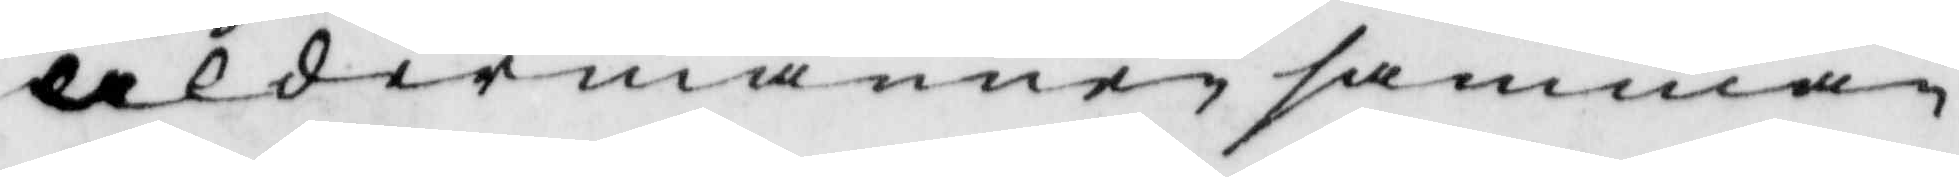åldermannen samman¬
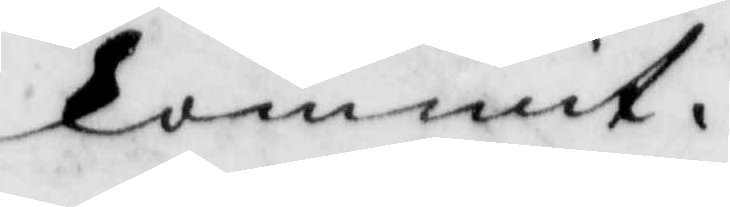kommit.
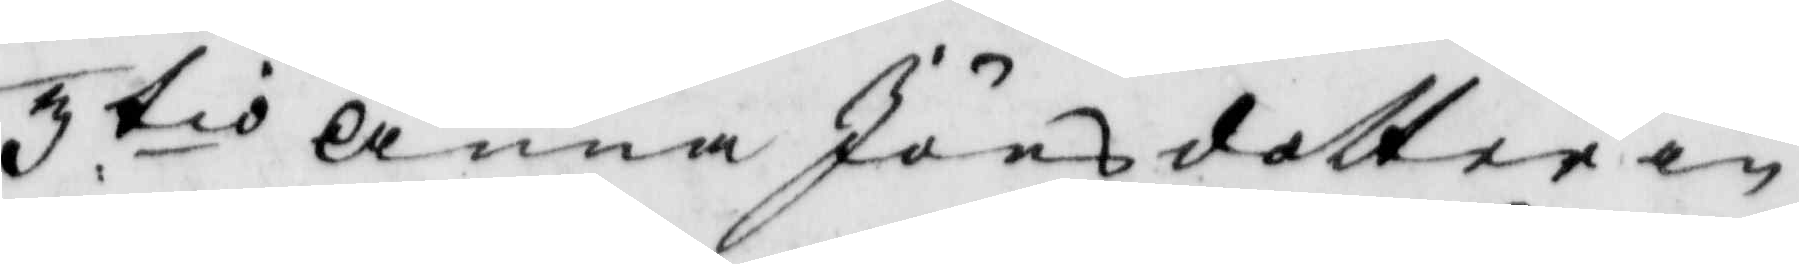3.tio Anna Jönsdotter in¬
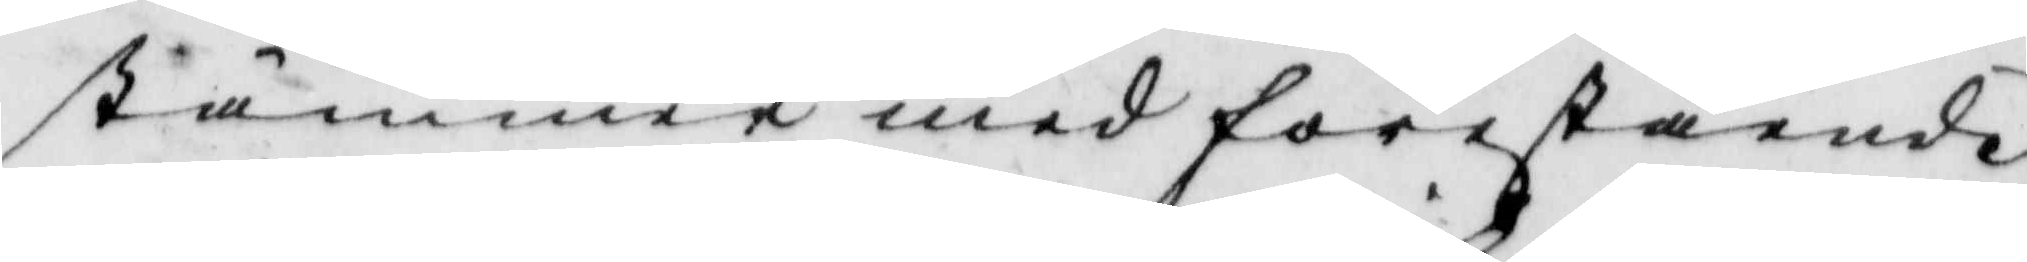stämme med förestående
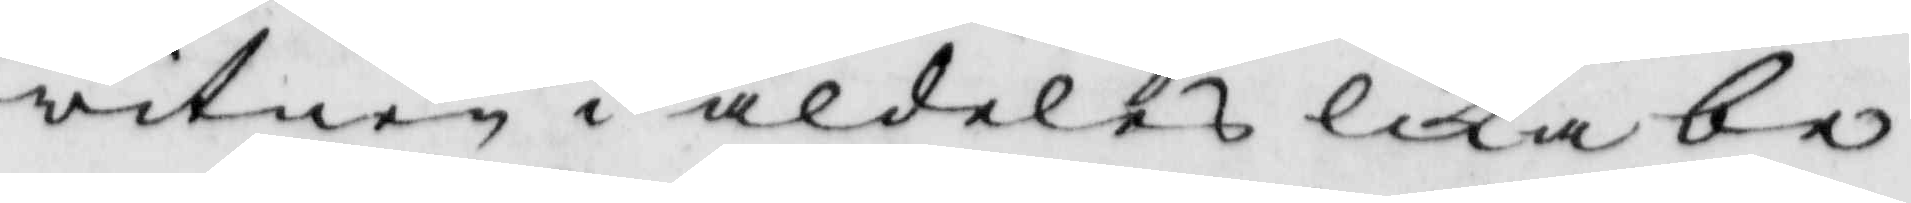witnen i aldeles lika be¬
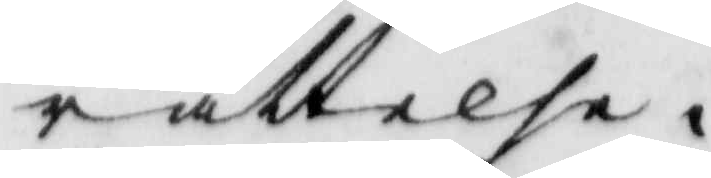rättelse.
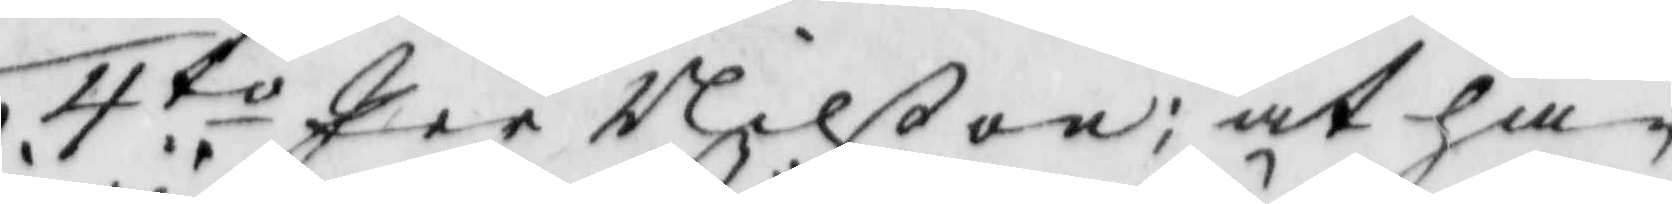4.to Per Nilßon; at han
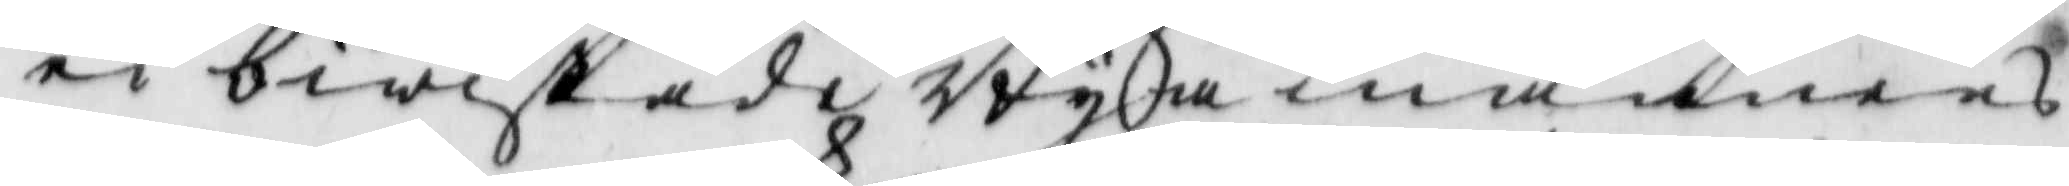ei bewistade Byamännens
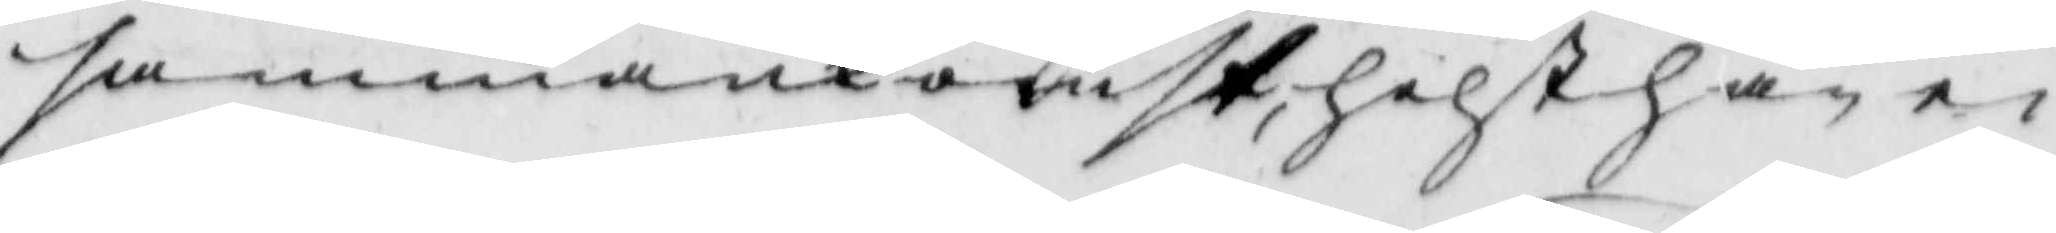sammankomst, helst han ei
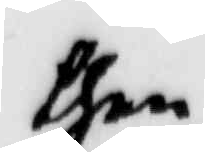then 
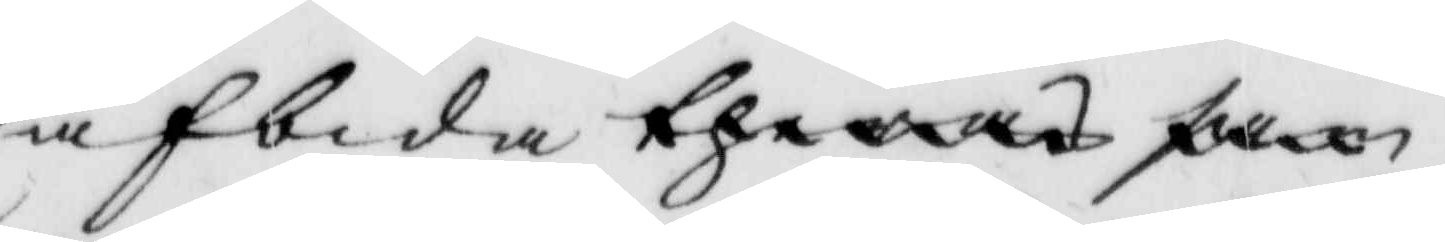afbida theras sam¬
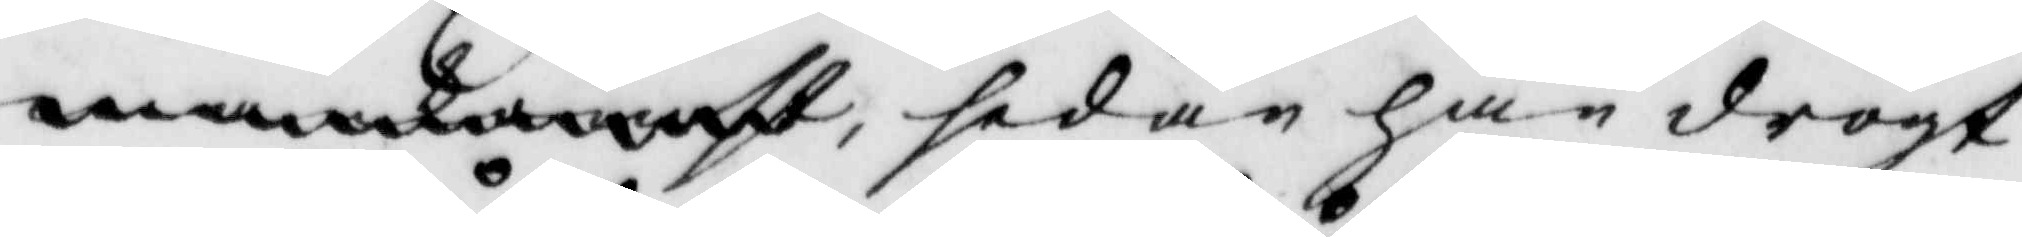mankomst, sedan han drögt
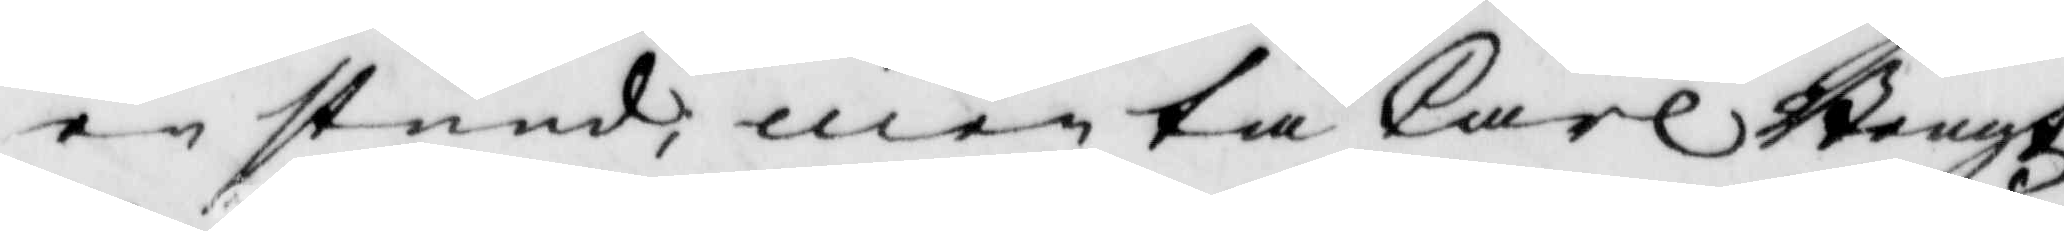en stund, men tå Carl Bengtz¬
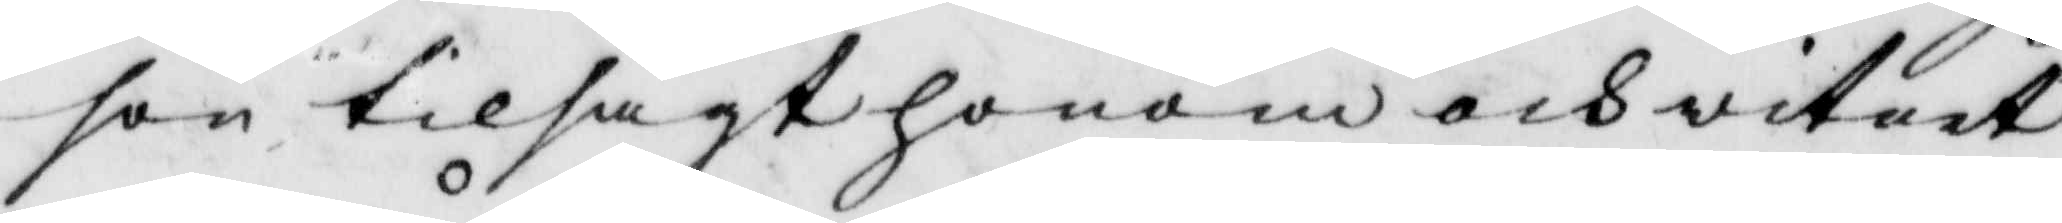son tilsagt honom och witnet
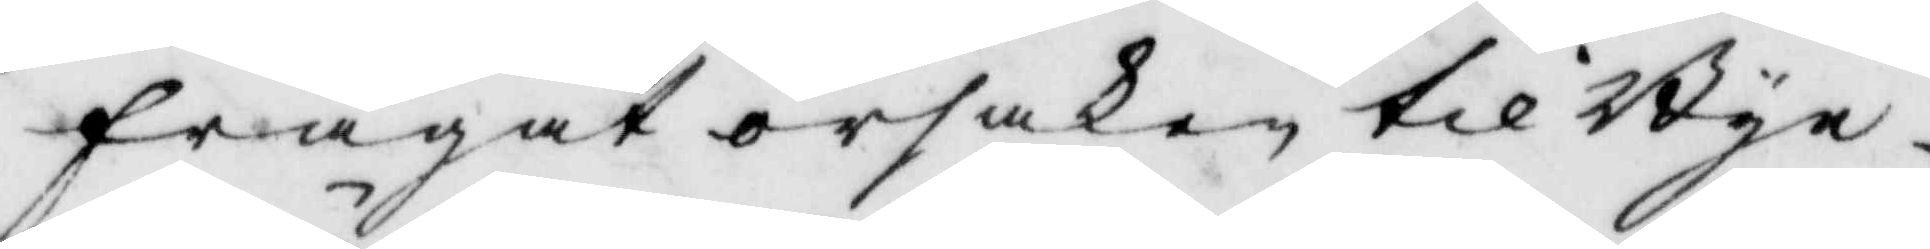frågat orsaken till Bye¬
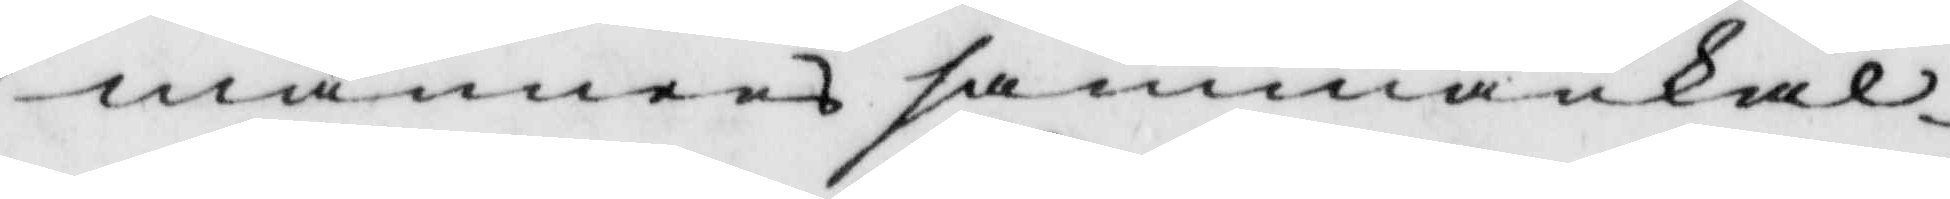månens sammankal¬
